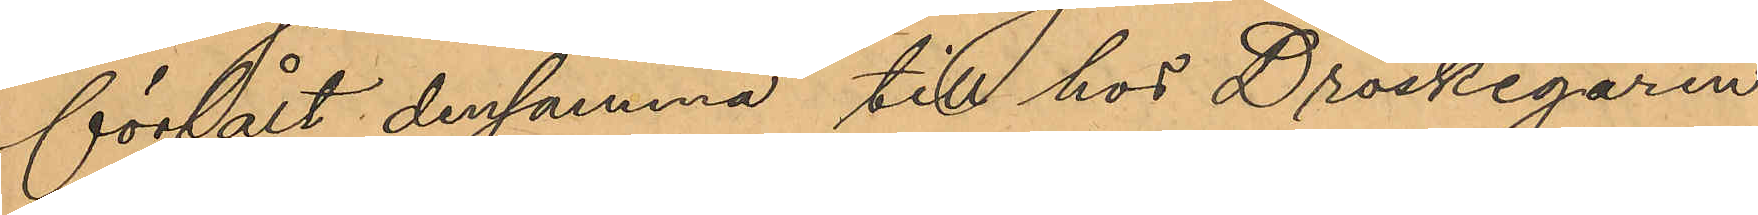försålt densamma till hos Droskegaren
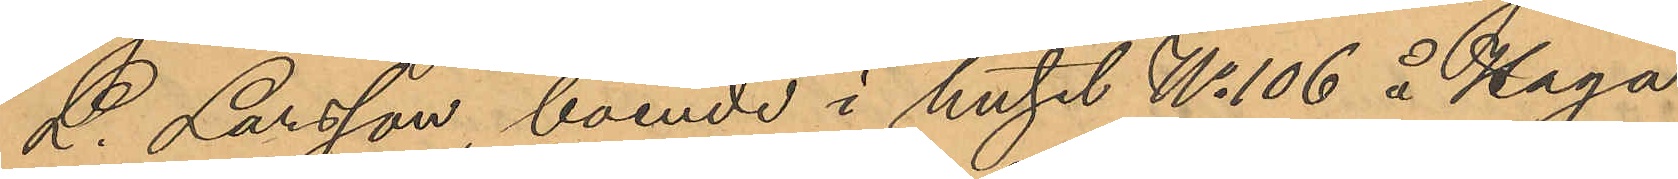L. Larsson, boende i huset No 106 å Haga¬
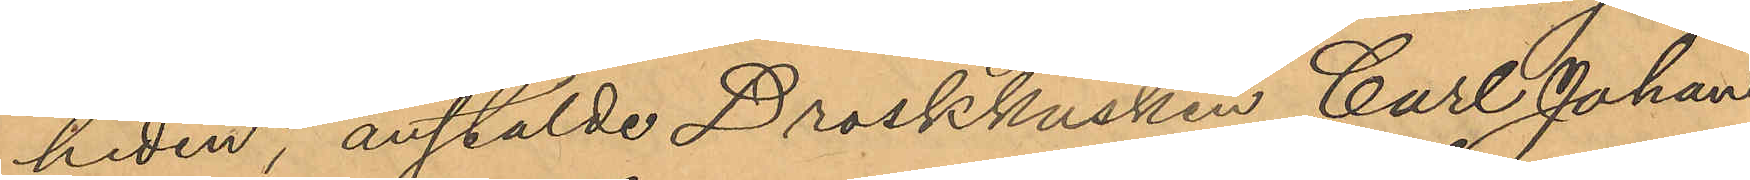heden, anstälde Droskkusken Carl Johan
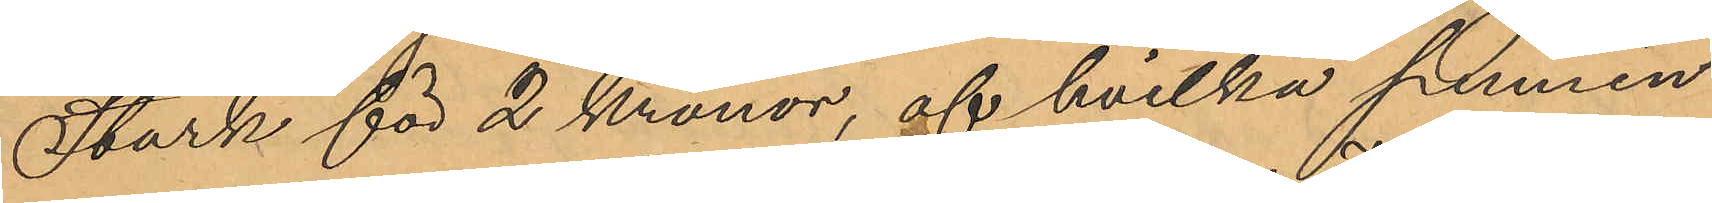Stark för 2 Kronor, af hvilka pennin¬
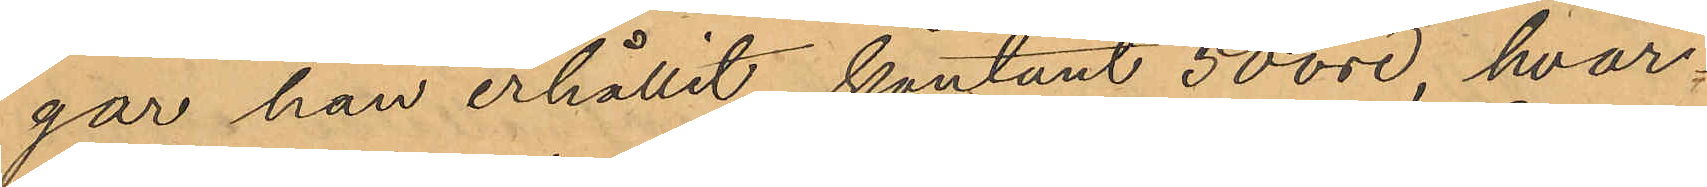gar han erhållit kontant 50 öre, hvar¬
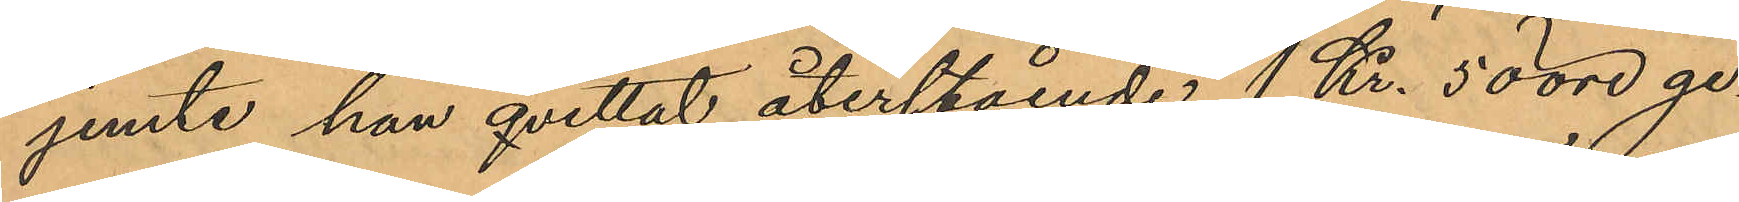jemte han qvittat återstående 1 Kr. 50 öre ge¬
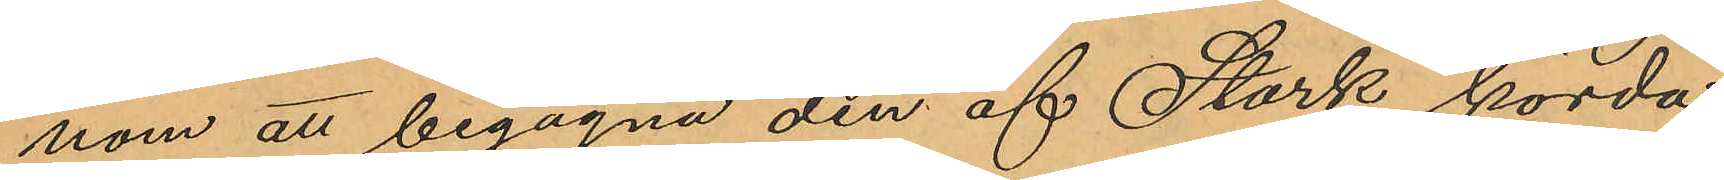nom att begagna den af Stark körda
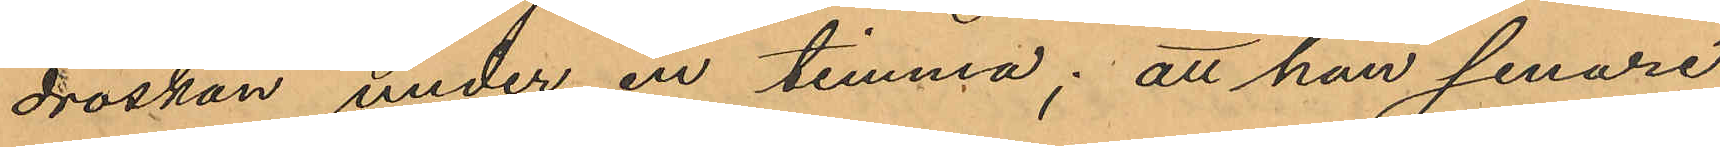droskan under en timma; att han senare
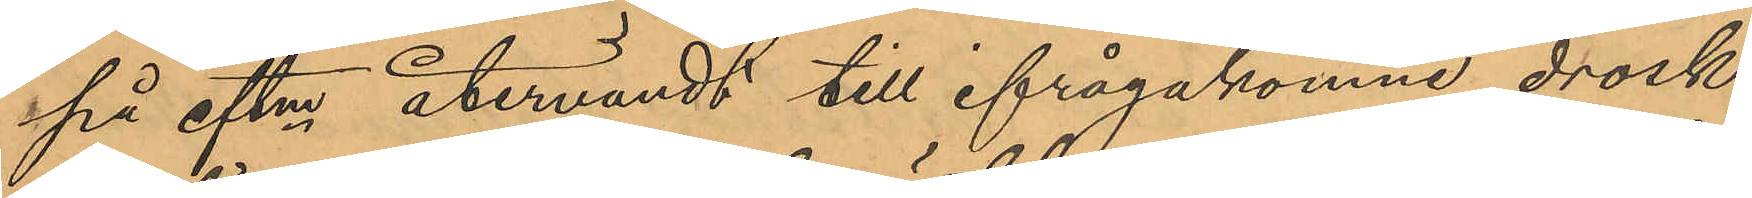på eftm återvändt till ifrågakomne drosk¬
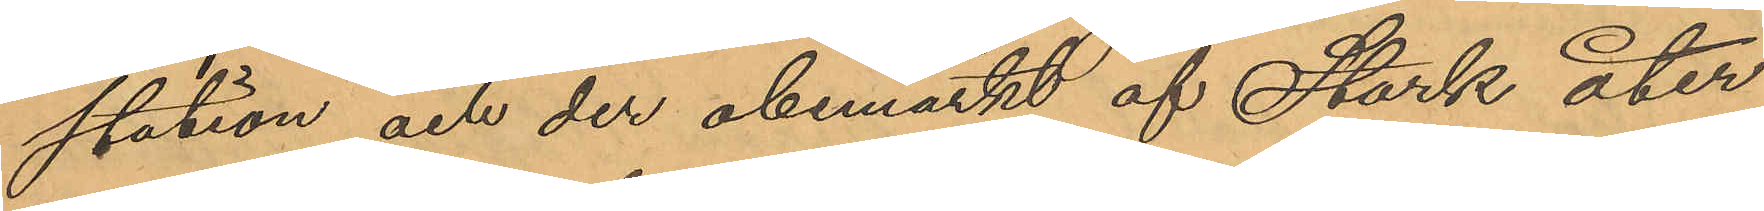station och der obemärkt af Stark åter¬
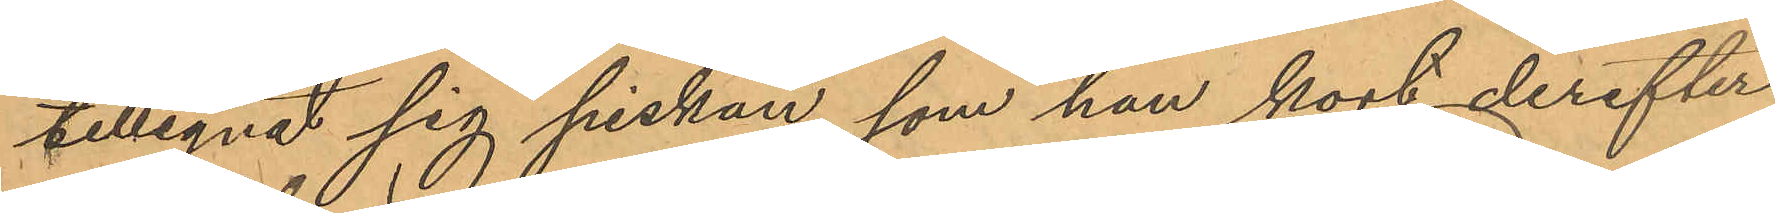tillegnat sig piskan, som han kort derefter
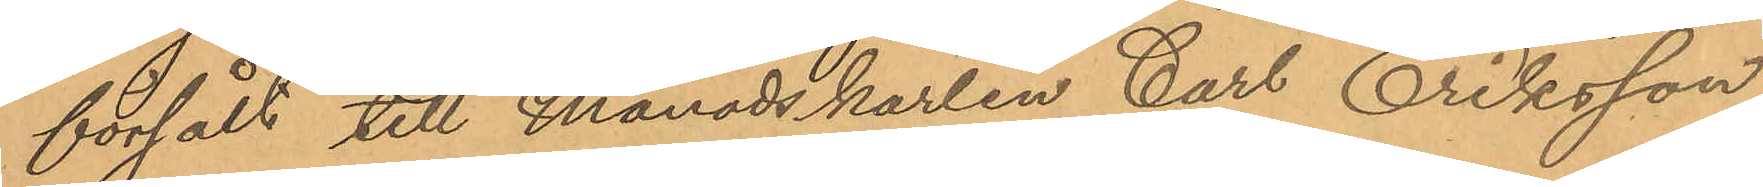försålt till månadskarlen Carl Eriksson,
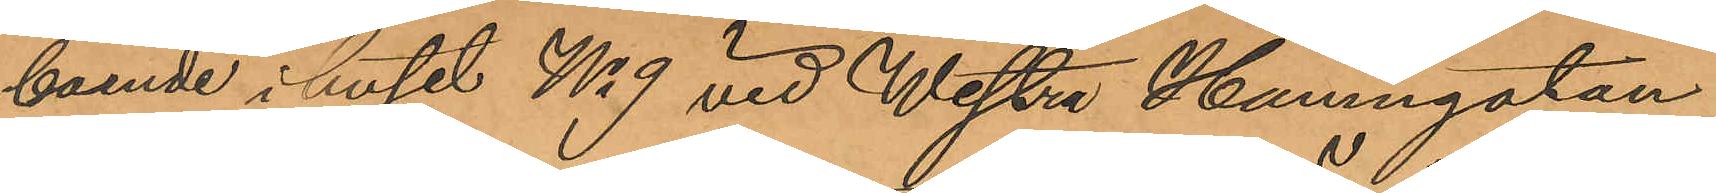boende i huset No 9 vid Westra Hamngatan
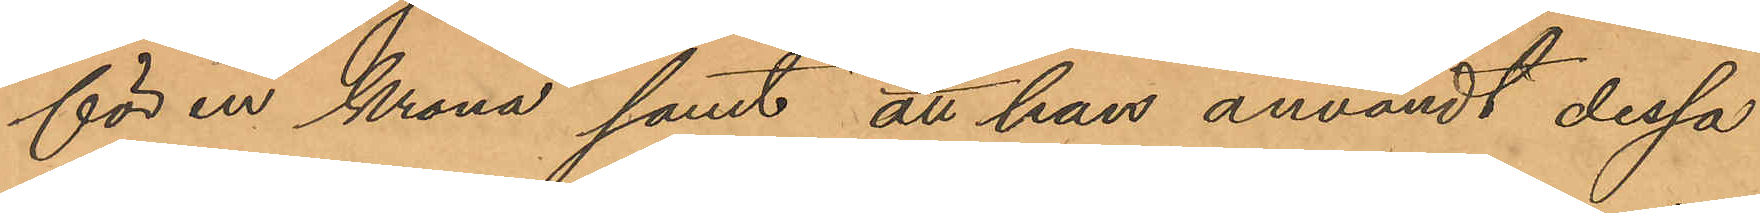för en krona samt att han användt dessa
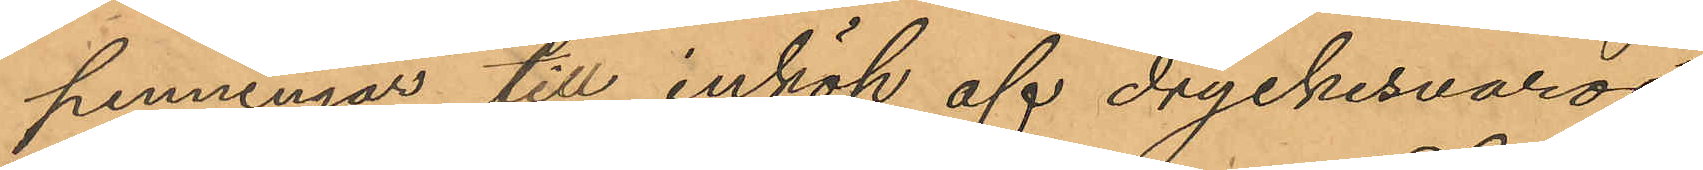penningar till inköp af dryckesvaror.
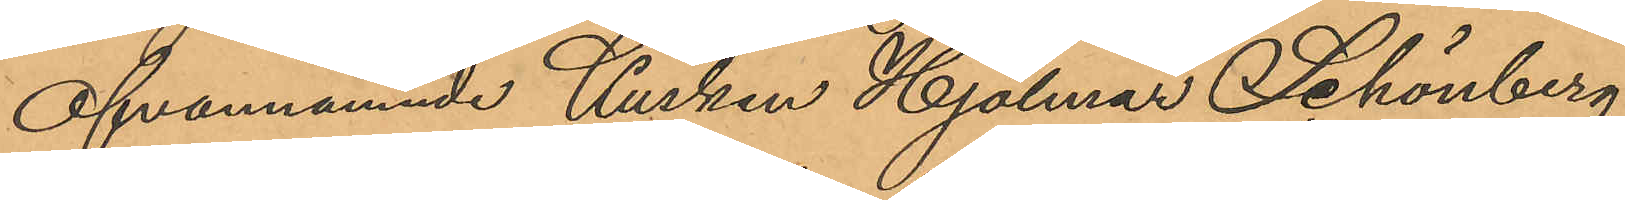Ofvannämnde Kusken Hjalmar Schönberg
